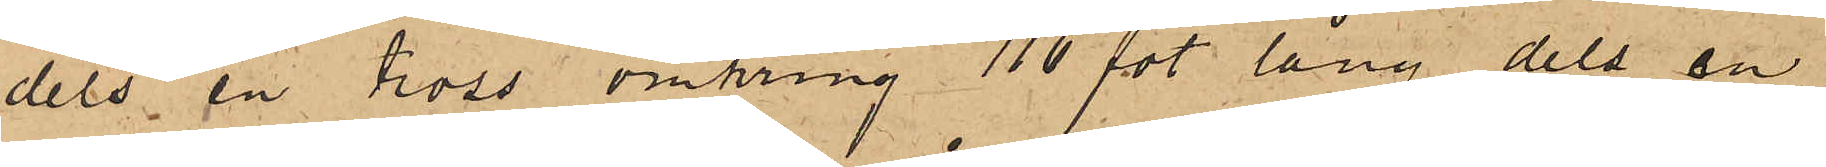dels en tross omkring 116 fot lång dels en
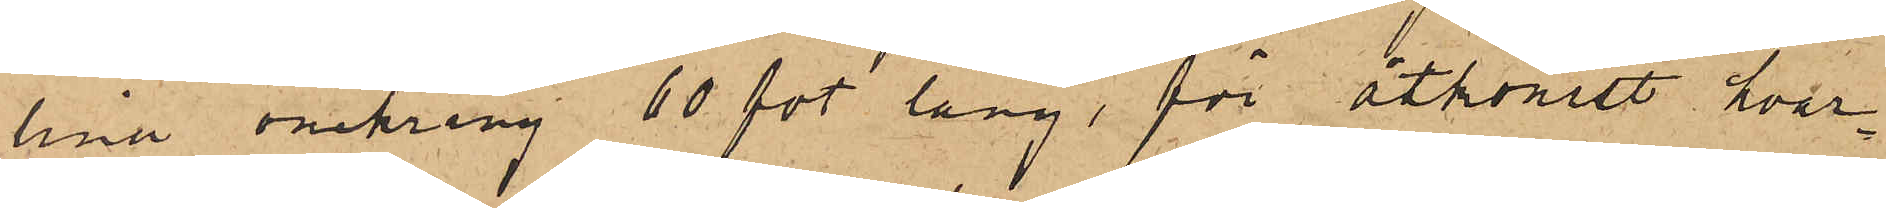lina omkring 60 fot lång, för åtkomst hvar¬
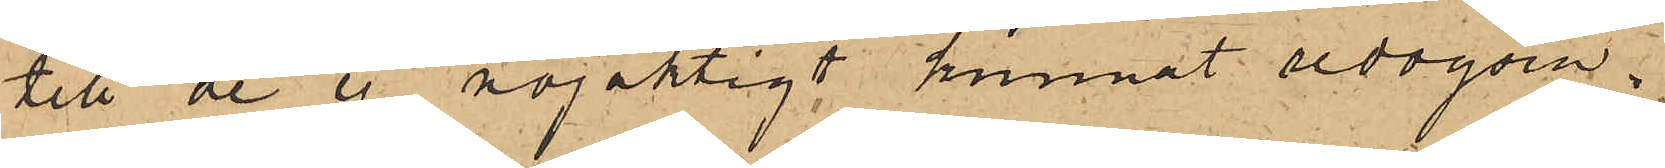till de ej nöjaktigt kunnat redogöra.
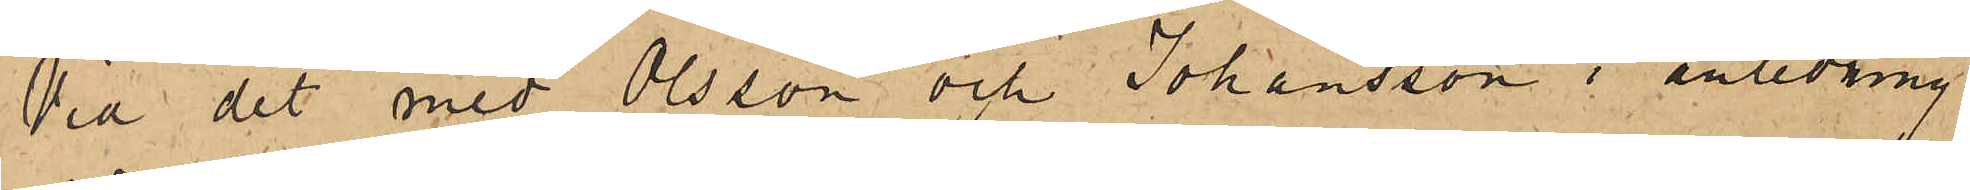Vid det med Olsson och Johansson i anledning
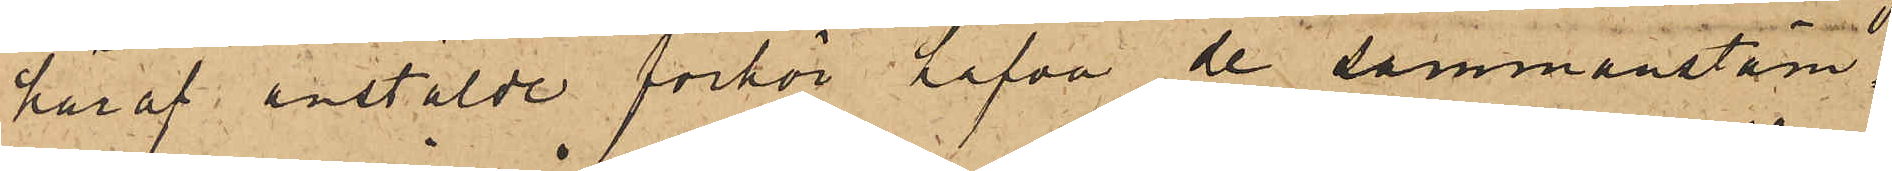häraf anstälde förhör hafva de sammanstäm¬
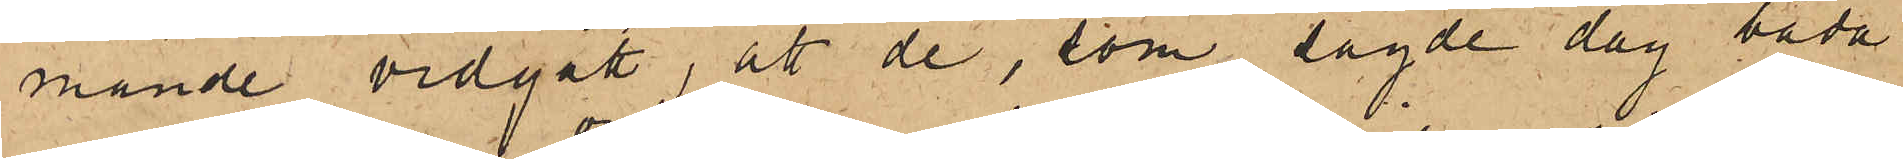mande vidgått, att de, som sagde dag båda
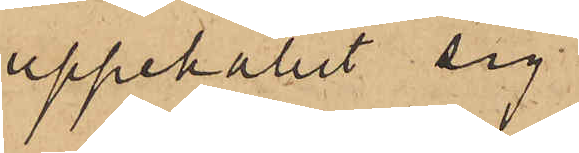uppehållit sig
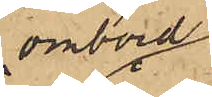ombord
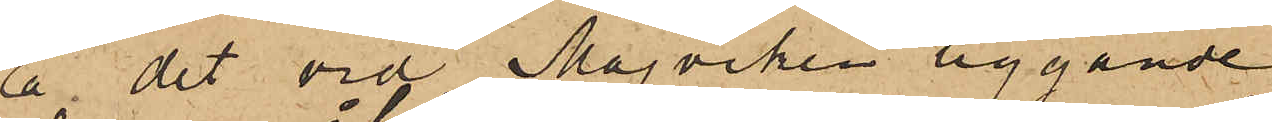å det vid Majviken liggande
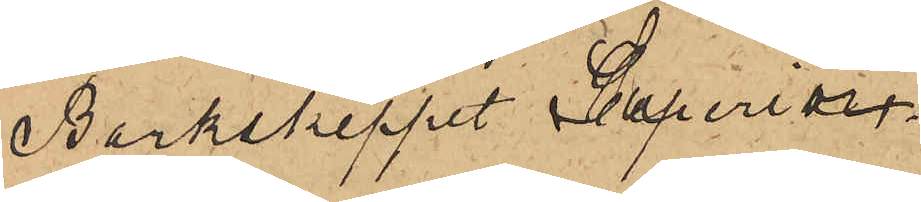Barkskeppet Superior,
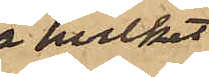å hvilket
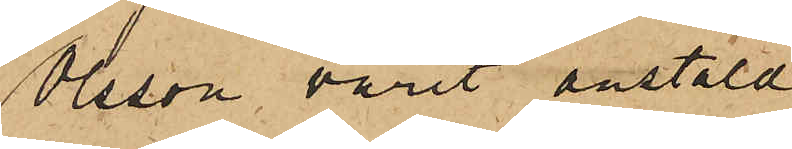Olsson varit anstäld
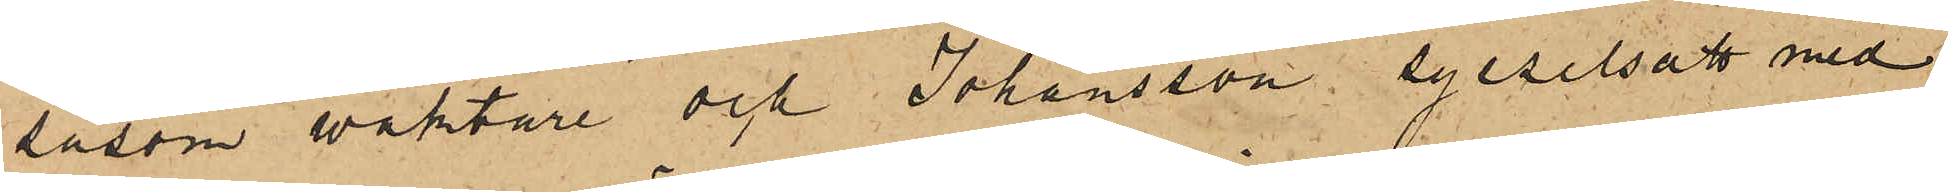såsom waktare och Johansson sysselsatt med
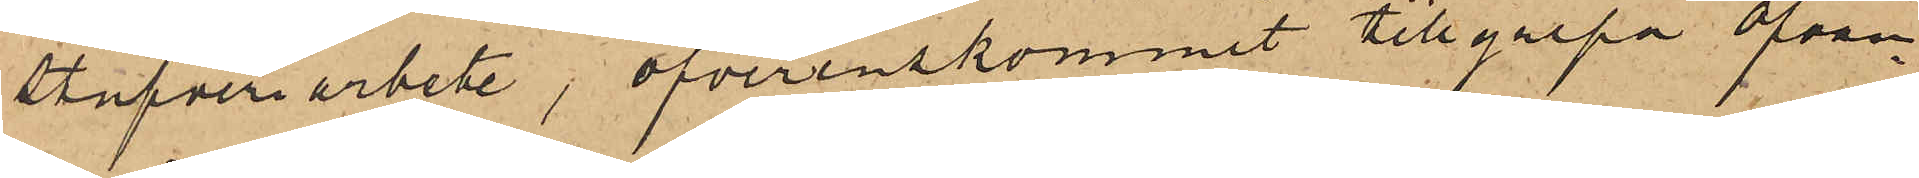stufveriarbete, öfverenskommit tillgripa ofvan¬
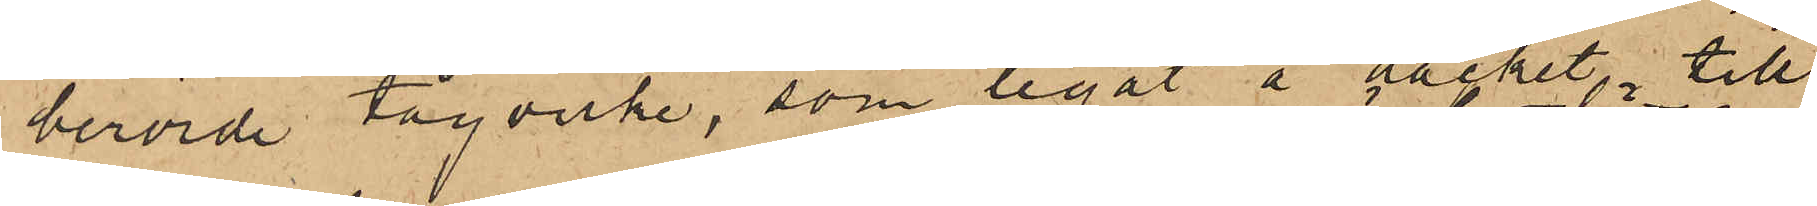berörde tågvirke, som legat å däcket till
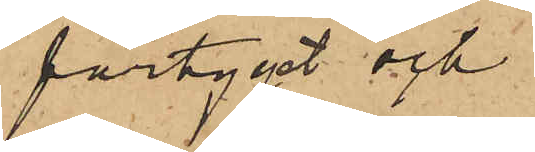fartyget och
